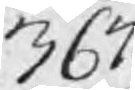367:
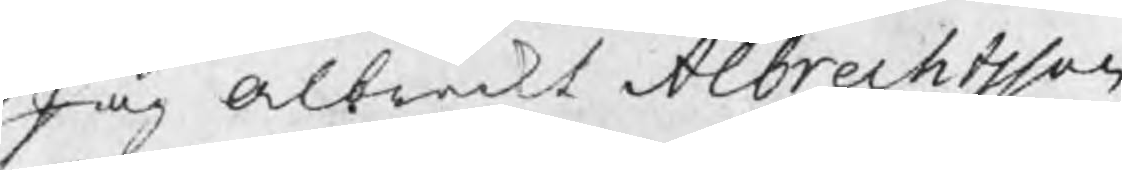Jag Albreckt Albrechtsson
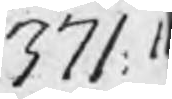371: 1
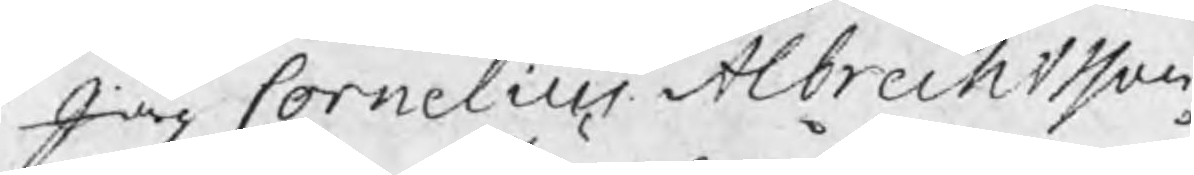Jag Cornelius Albrechtsson
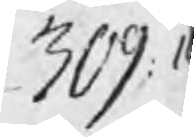309: 1
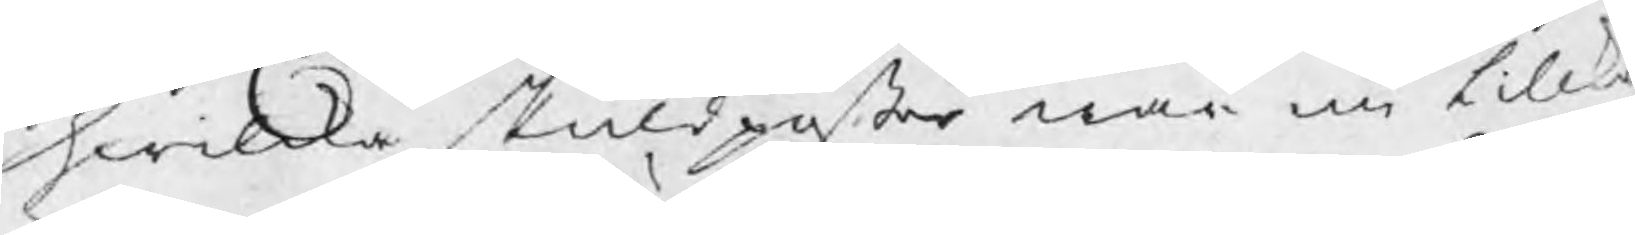hwilka skuldpåster når nu tillk
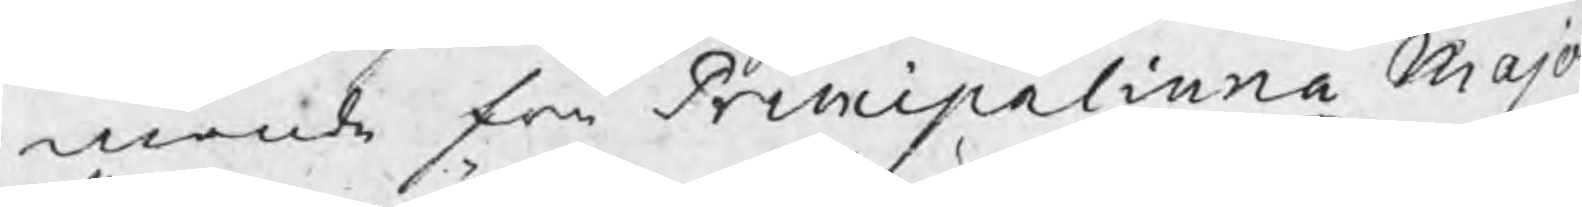mande fr Principalinna Majo
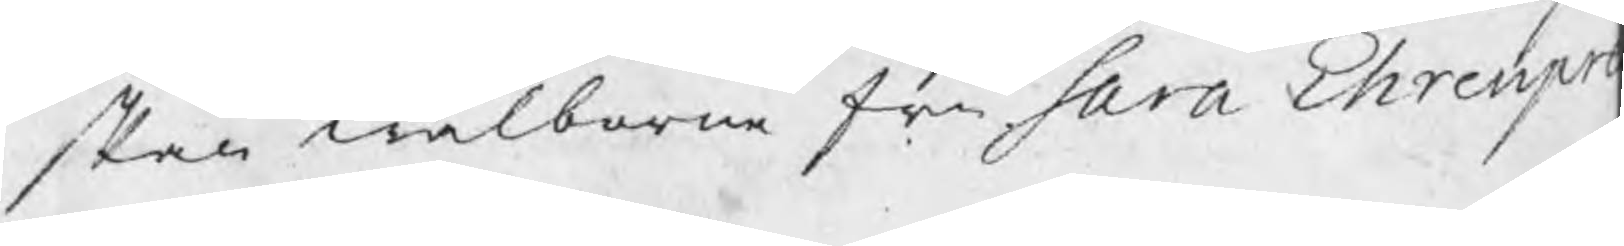skan wälborne fru Sara Ehrenpre
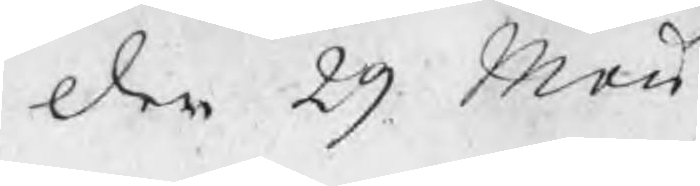den 29 Maii
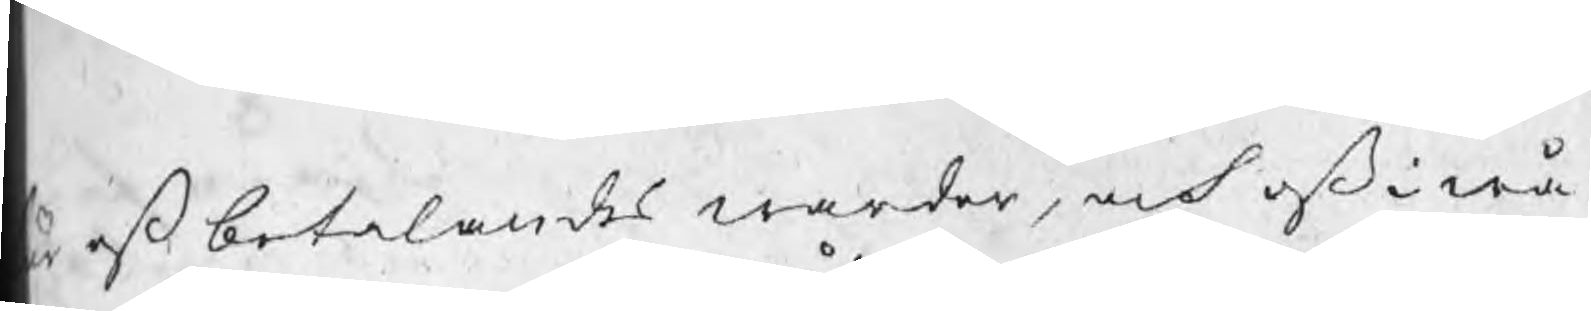är oß betalandes warder, och oß i wå¬
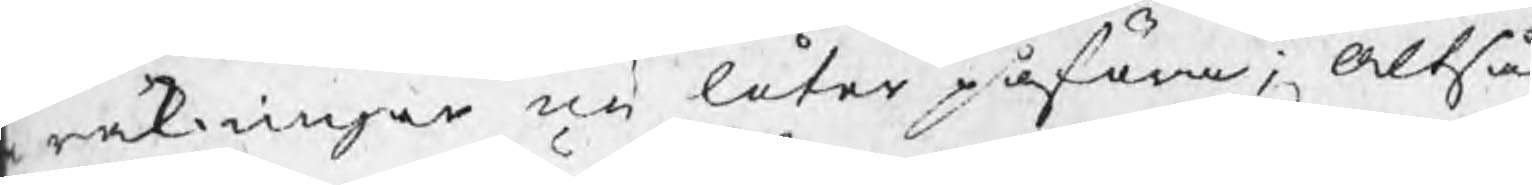räkningar nu låter påföra; Altså
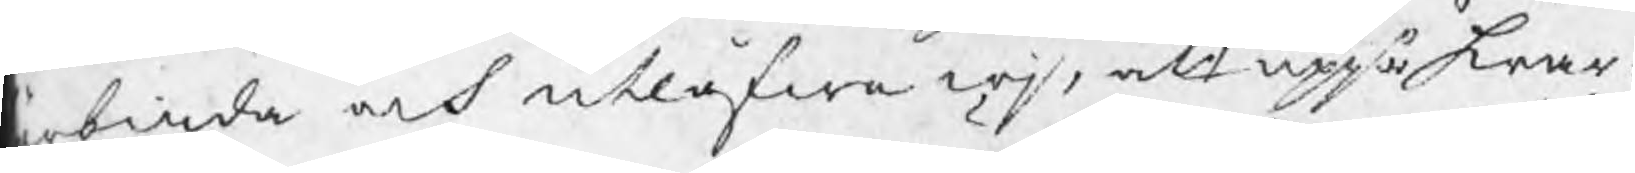rbiuda och utlåfwa wj, att uppå hwar¬
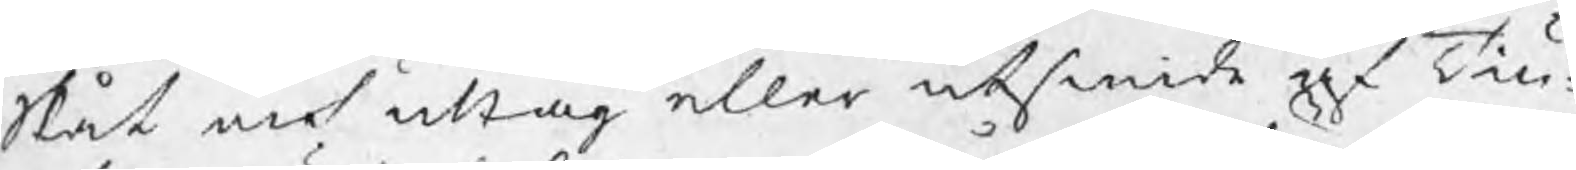Slut och uttag eller utsmide af Tiu¬
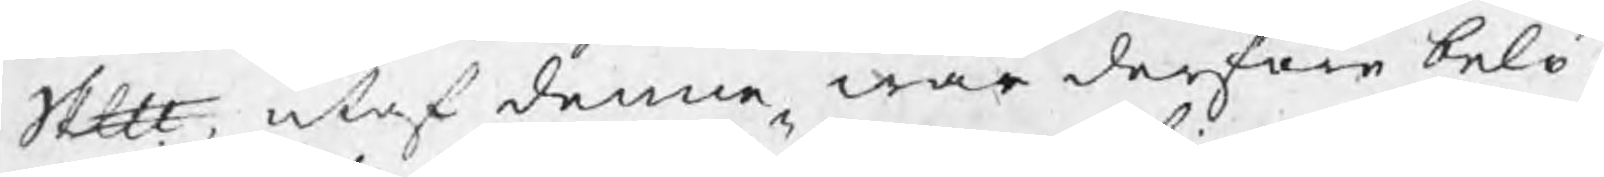Skp, utaf denne wår derföre belö¬
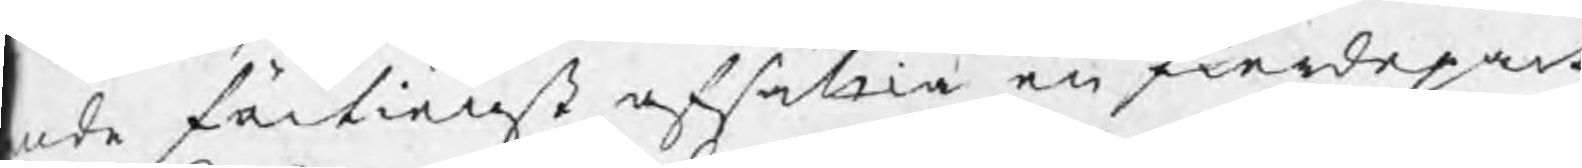nde förtienst afsällia en fierdepart
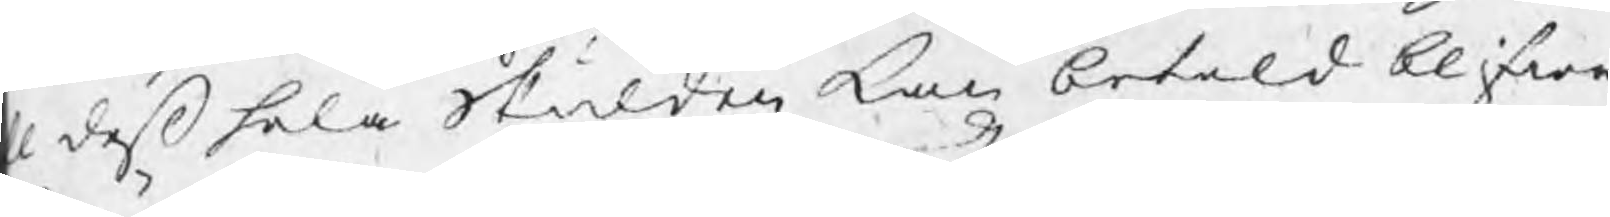ll deß hela skulden kan betald blifwa.
